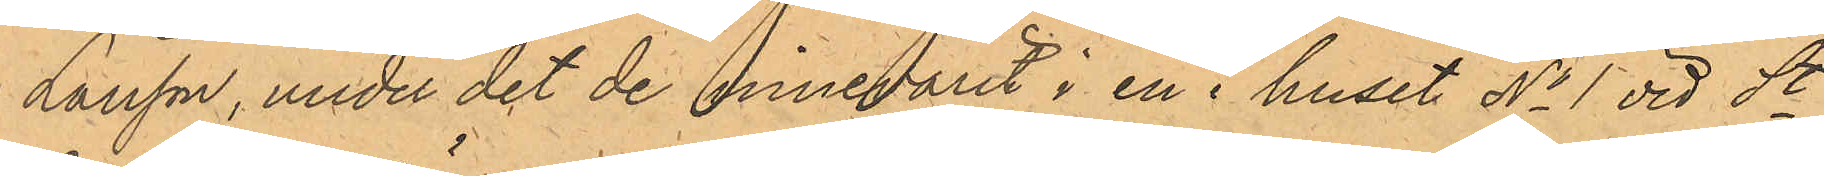Larsson, under det de innevarit i en i huset No 1 vid St
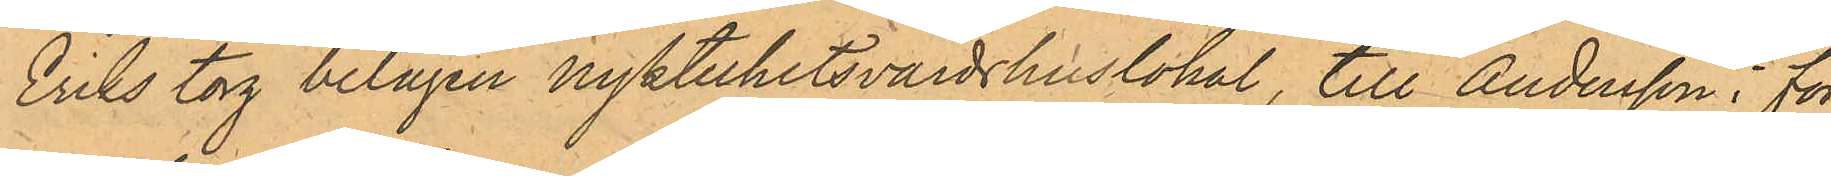Eriks torg belägen nykterhetsvärdshuslokal, till Andersson i för¬
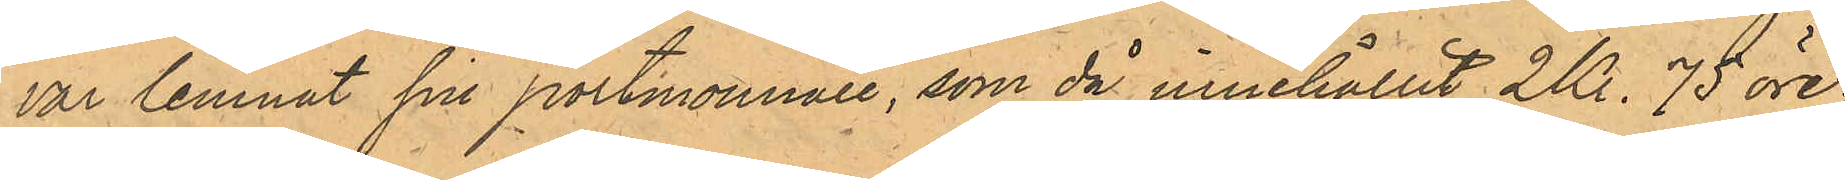var lemnat sin portmonnaie, som då innehållit 2 Kr. 75 öre.
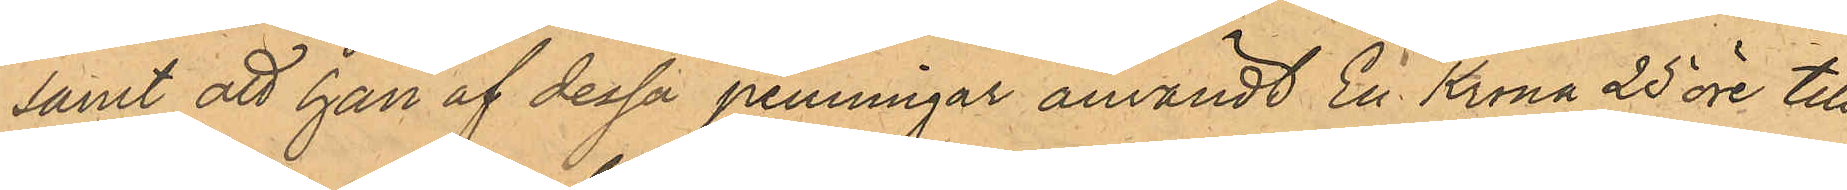samt att han af dessa penningar användt En Krona 25 öre till
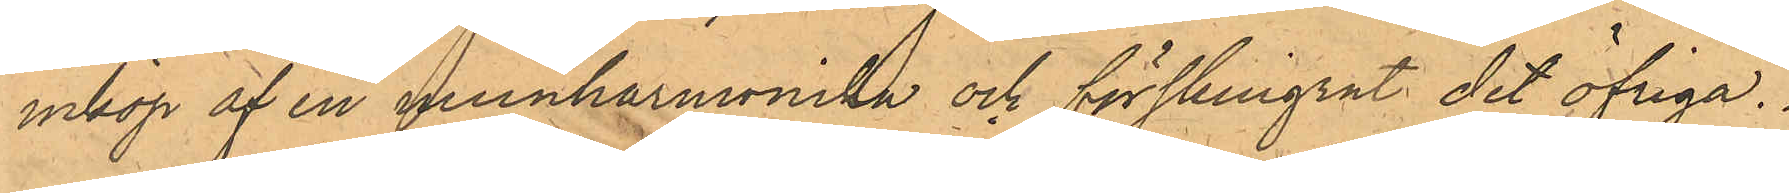inköp af en munharmonika och förskingrat det öfriga.
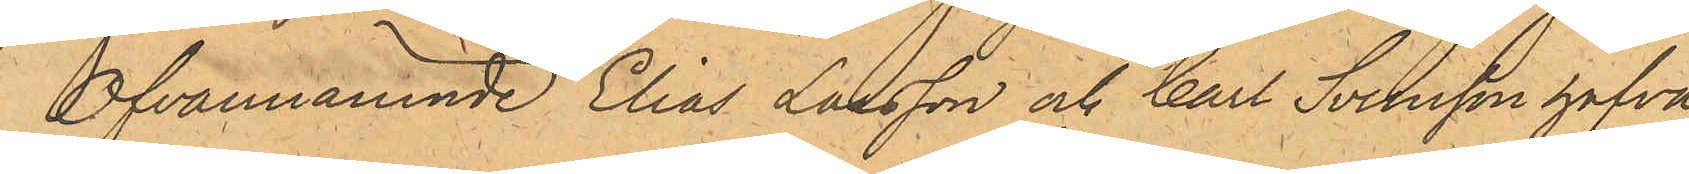Ofvannämnde Elias Larsson och Carl Svensson hafva
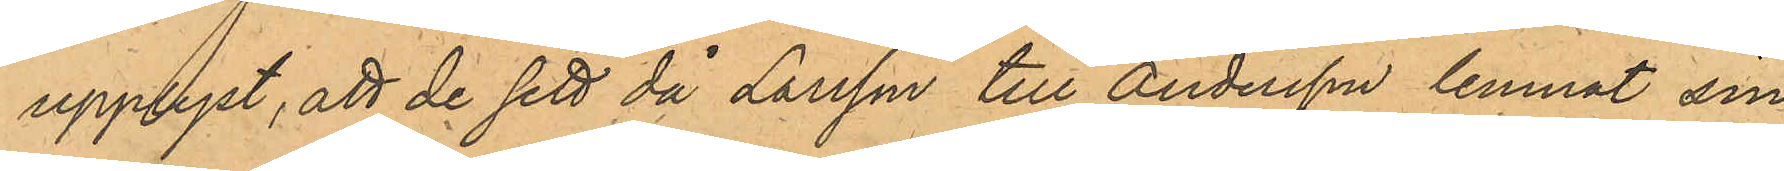upplyst, att de sett då Larsson till Andersson lemnat sin
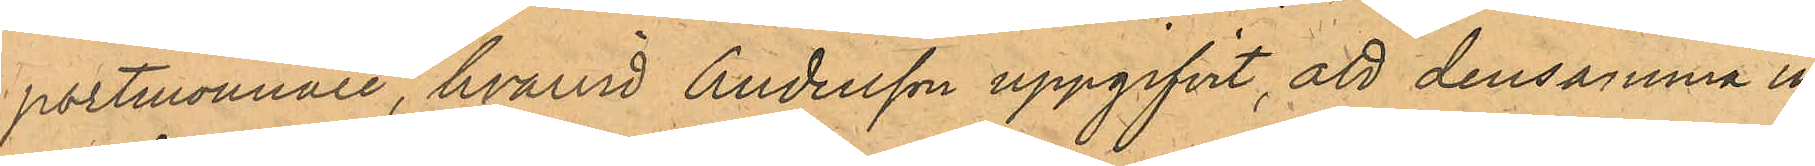portmonnaie, hvarvid Andersson uppgifvit, att densamma in¬
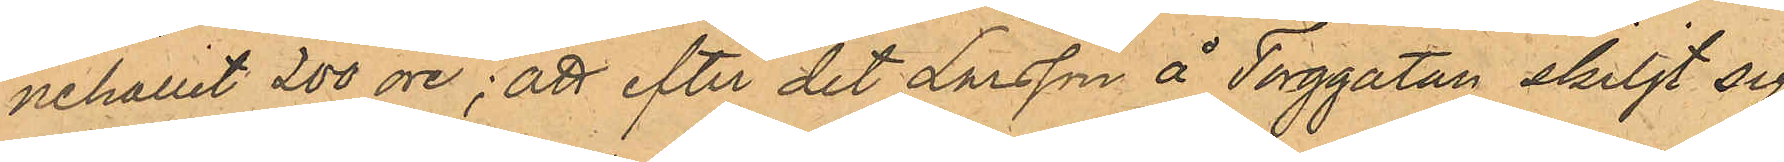nehållit 200 öre; att efter det Larsson å Torggatan skiljt sig
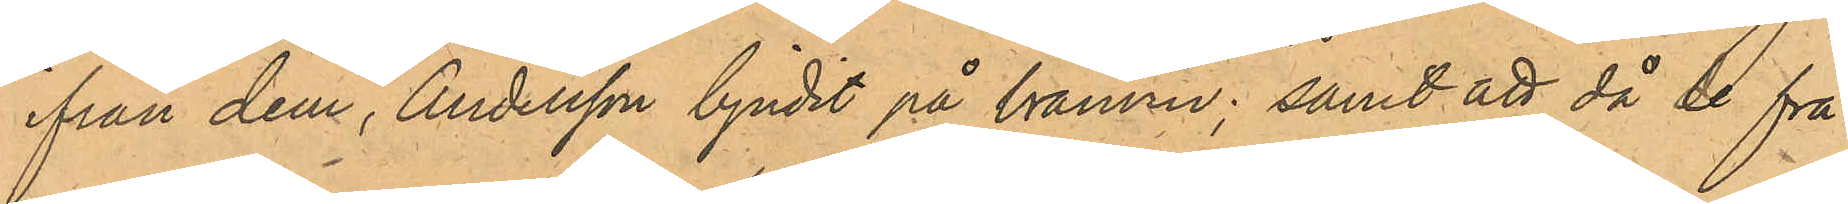ifrån dem, Andersson bjudit på bränvin; samt att då de frå¬
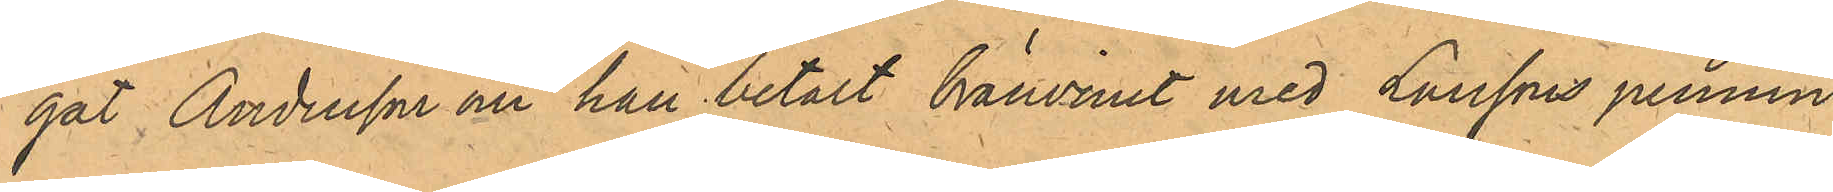gat Andersson om han betalt bränvinet med Larssons pennin¬
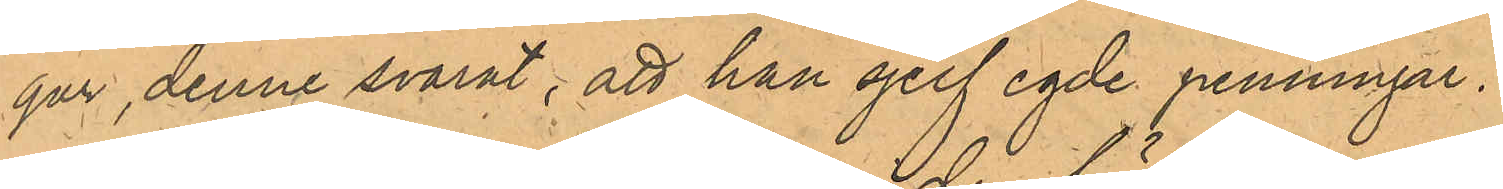gar, denne svarat; att han sjelf egde penningar.
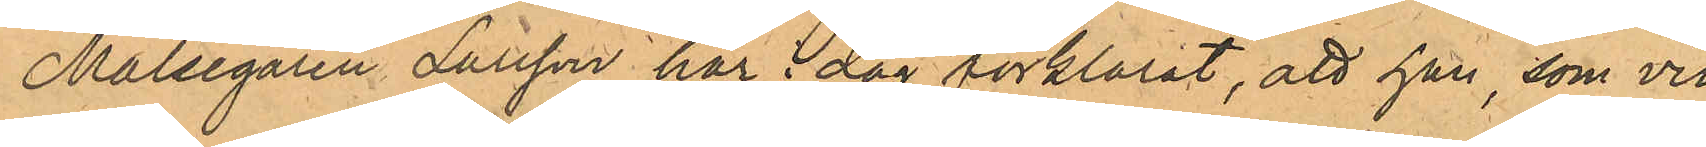Målsegaren Larsson har i dag förklarat, att han, som vid
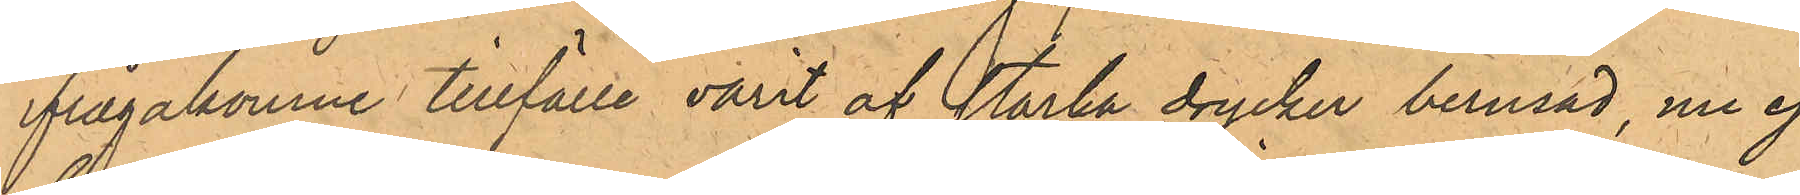ifrågakomne tillfälle varit af starka drycker berusad, nu ej
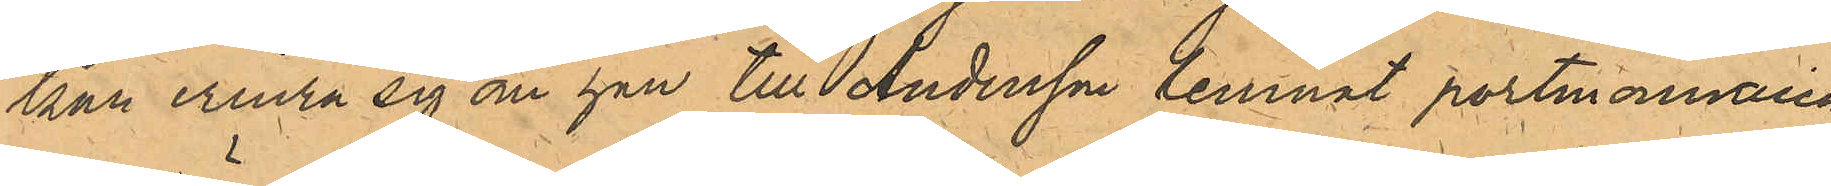kan erinra sig om han till Andersson lemnat portmonnaien
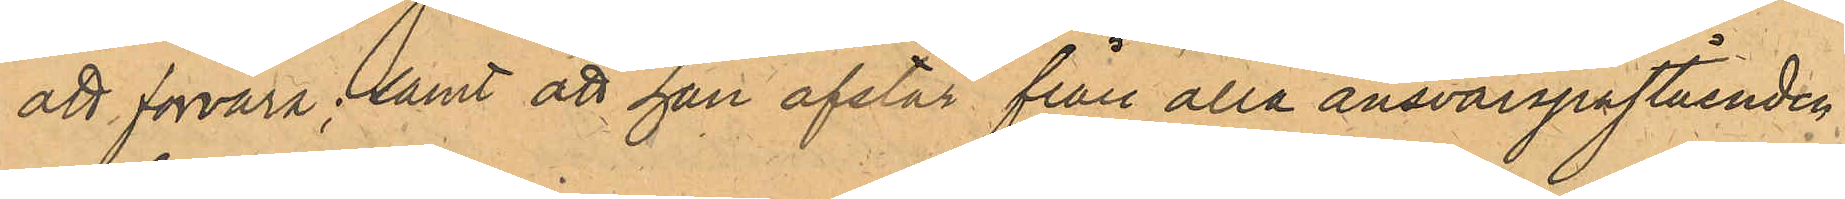att förvara; samt att han afstår från alla ansvarspåståenden
